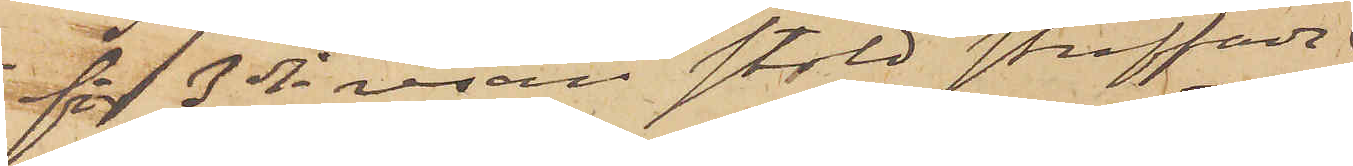för 3dje resan stöld straffade
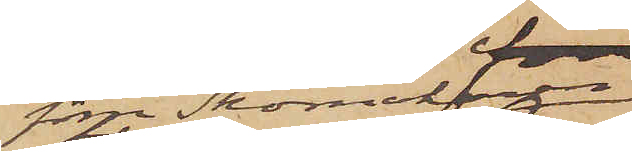förre Skomakaren
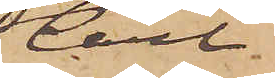Carl
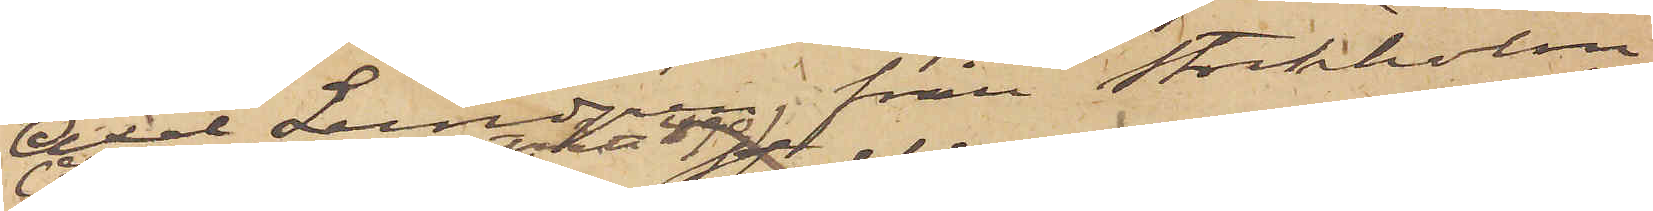Axel Lundgren, från Stockholm,
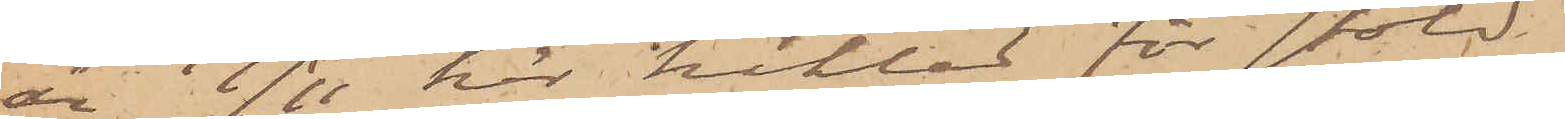är 19/11 här häktad för stöld.
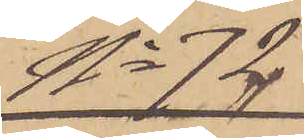No 72
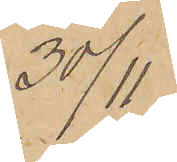30/11
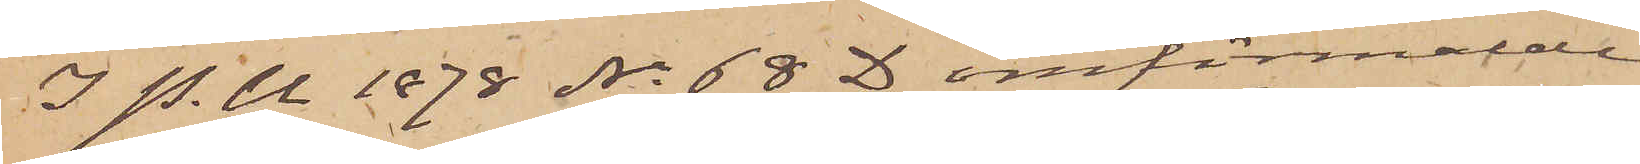I P. U 1878 No 68 D omförmälde
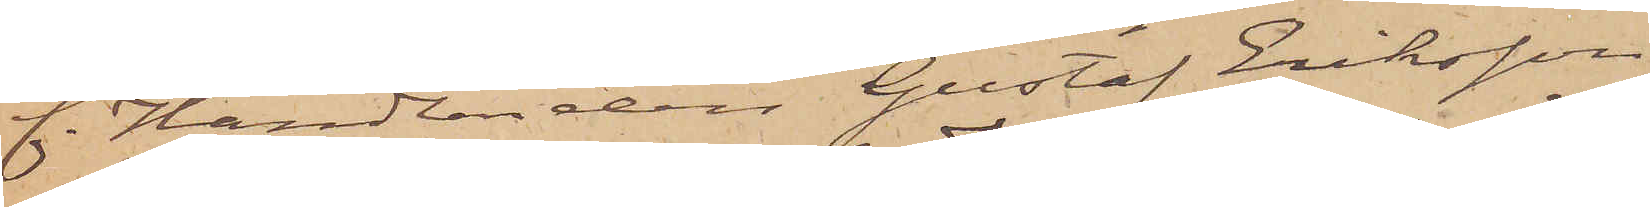f. Handlanden Gustaf Eriksson
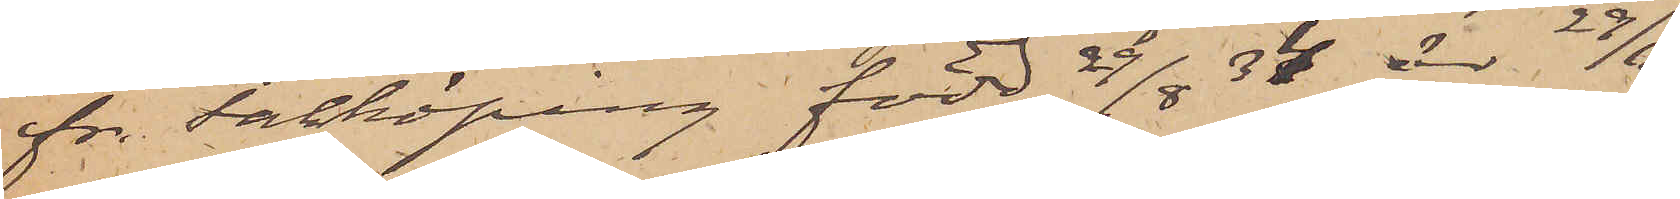fr. Falköping, född 29/8  34 är 29/11
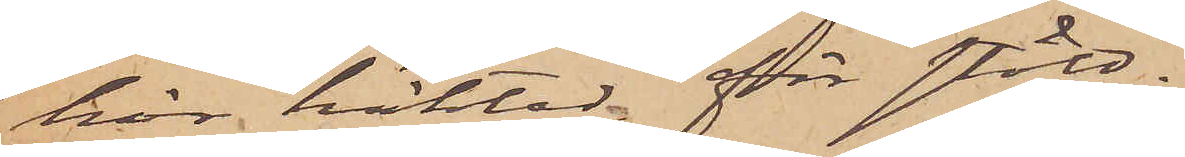här häktad för stöld.
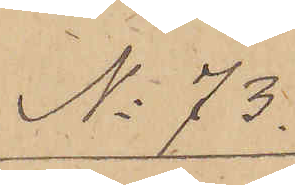No 73.
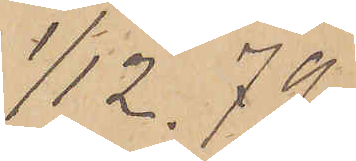1/12. 79
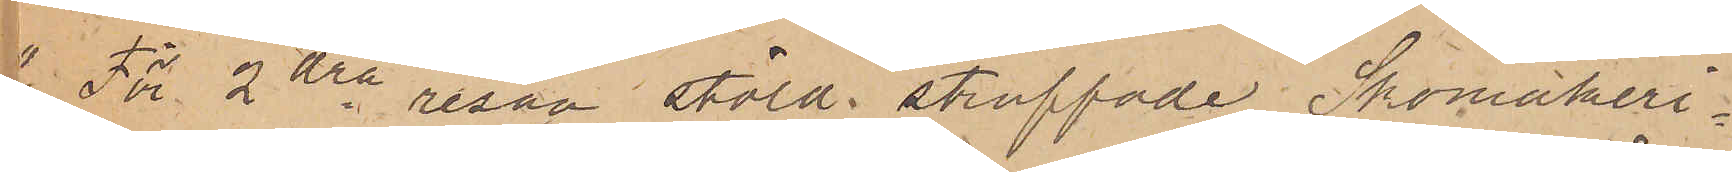1) För 2dra resan stöld straffade Skomakeri¬
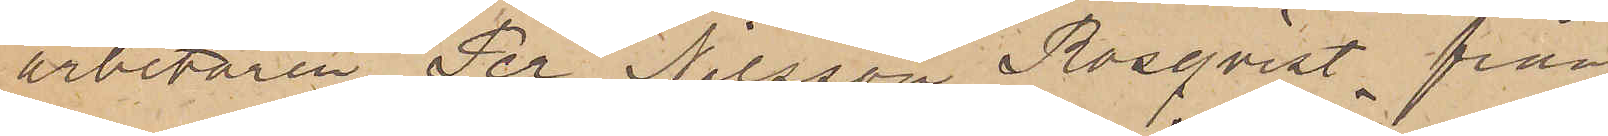arbetaren Per Nilsson Rosqvist från
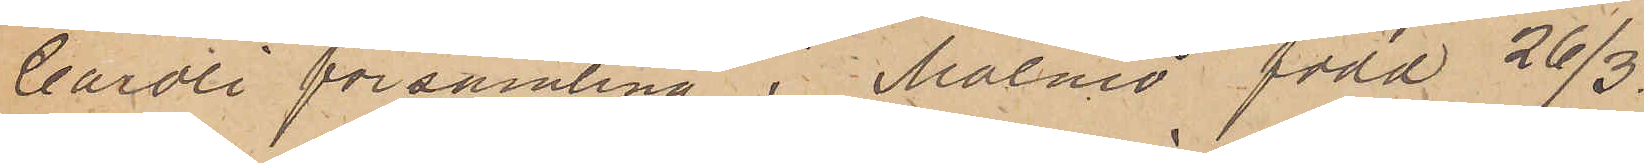Caroli församling i Malmö född 26/3
